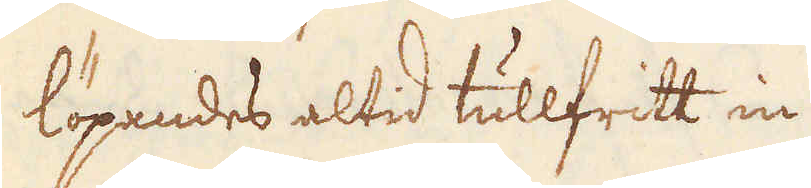löpendes altid tullfritt in.
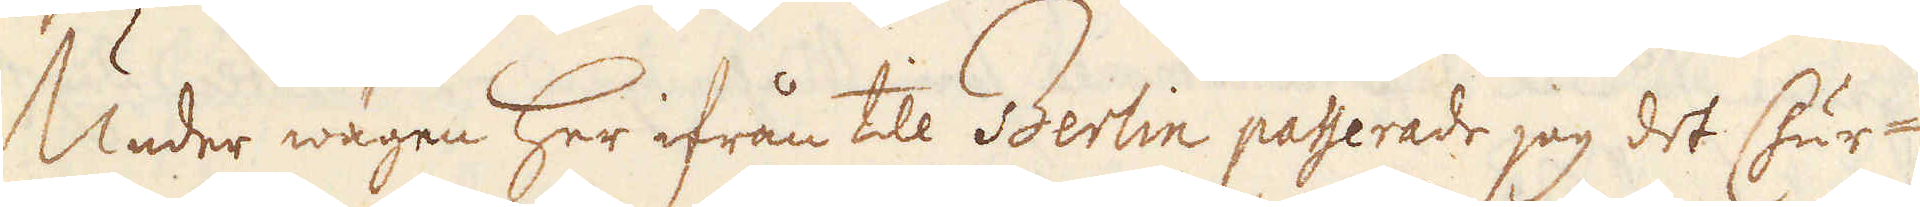Under wägen her ifrån till Berlin paserade jag det Chur-
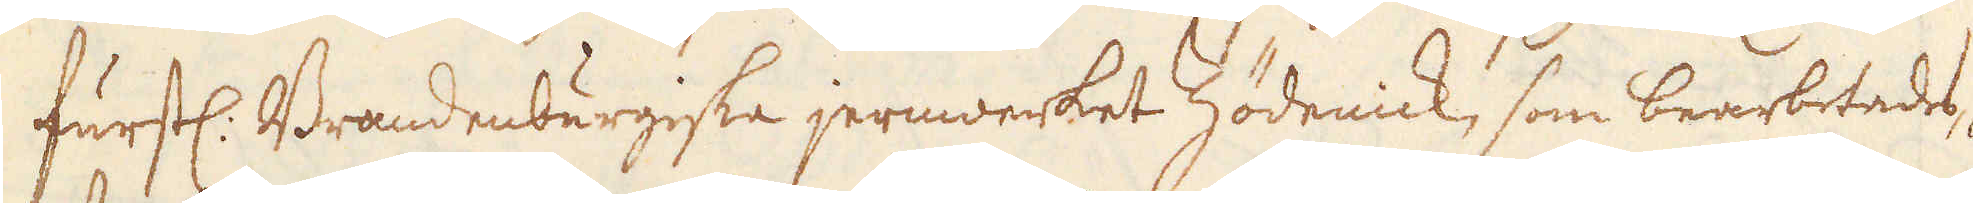fursl. Brandenburgiske jernwerket Zödenick, som bearbetades 
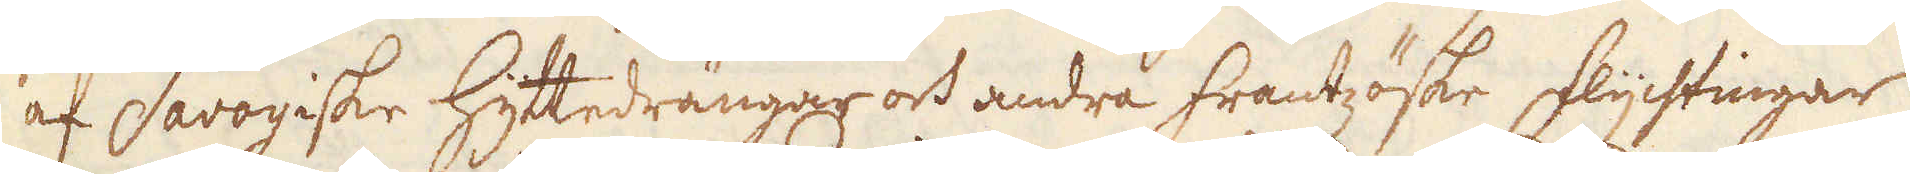af Savoyiske Hyttedrängar och andra frantzöske flychtingar
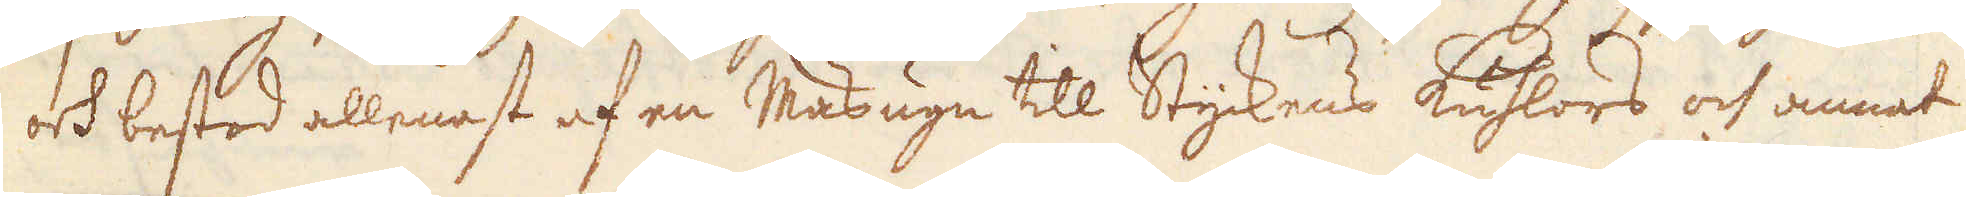och bestod allenast af en Masugn till Styckens kuhlors och annat
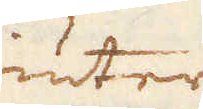giuterij
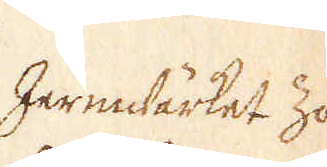Jernwärket Zö- 
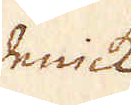dewick
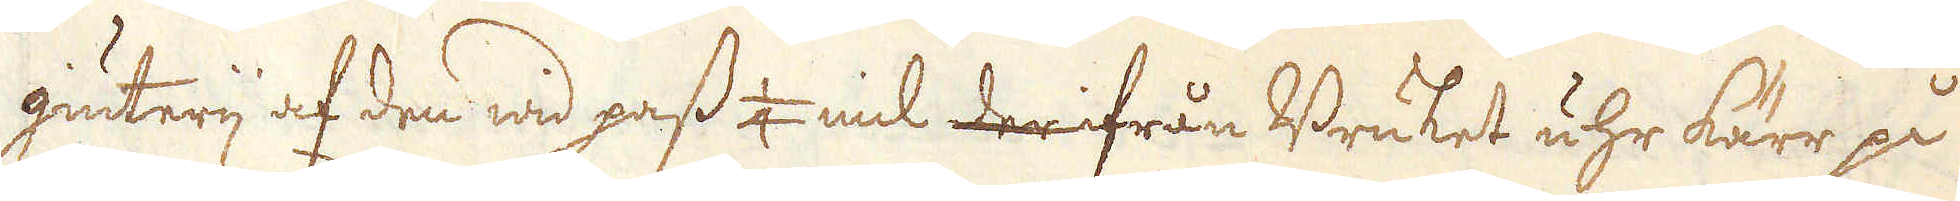giuterij af den wid pass 1/4 mil derifrån Bruket uhr kärr på
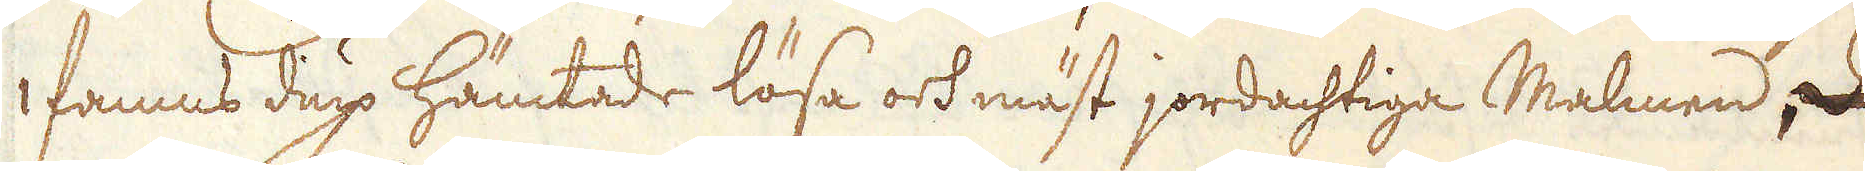1 famns diup hämtade lösa och mäst jordachtiga Malmen,
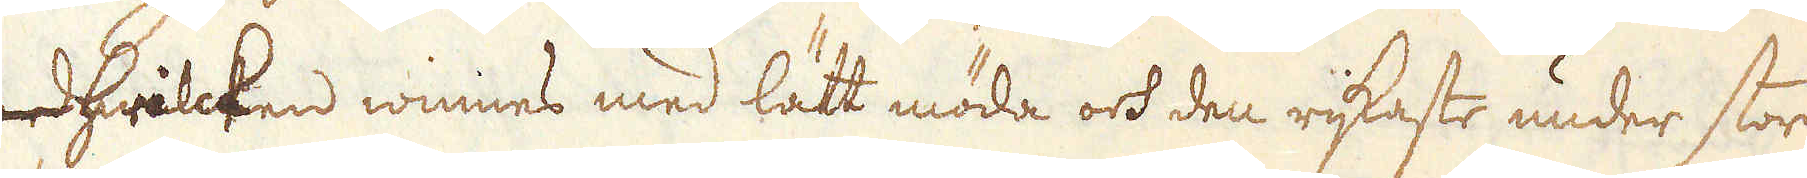hwilcken winnes med lätt möda ock den rijkaste under store
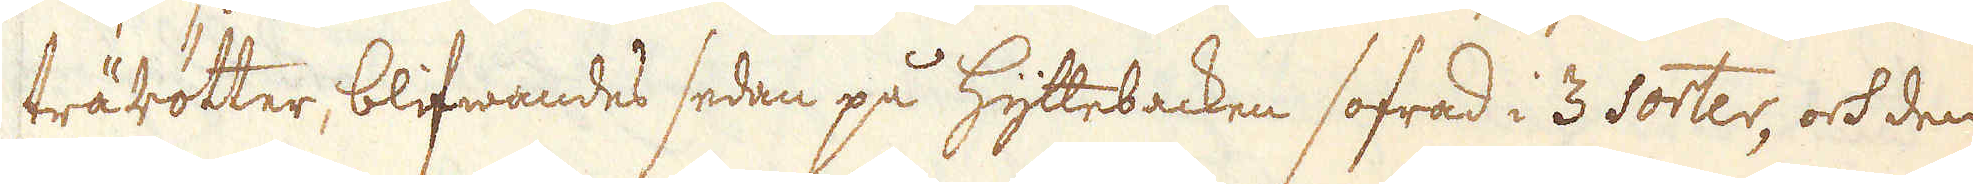trärötter, blifwandes sedan på hyttebacken sofrad i 3 Sorter, och den
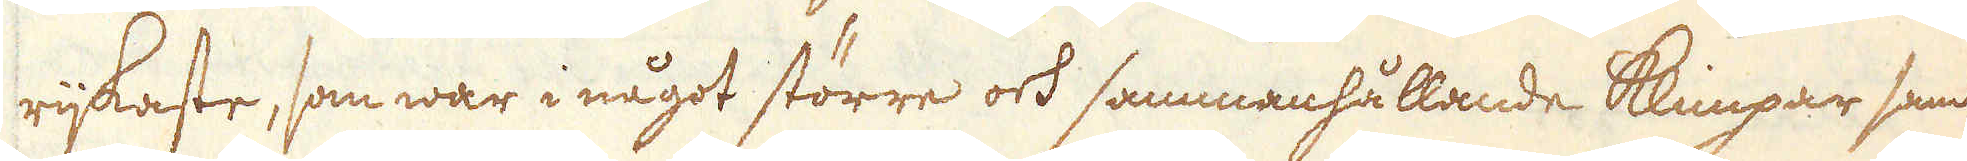rijkaste, som war i något större ock sammanhållande klimpar som
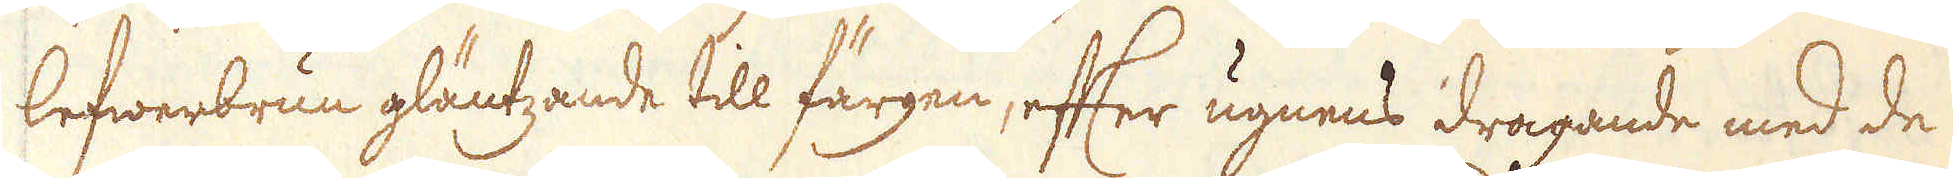lefwerbrun gläntzande till färgen, efter ugnens dragande med de
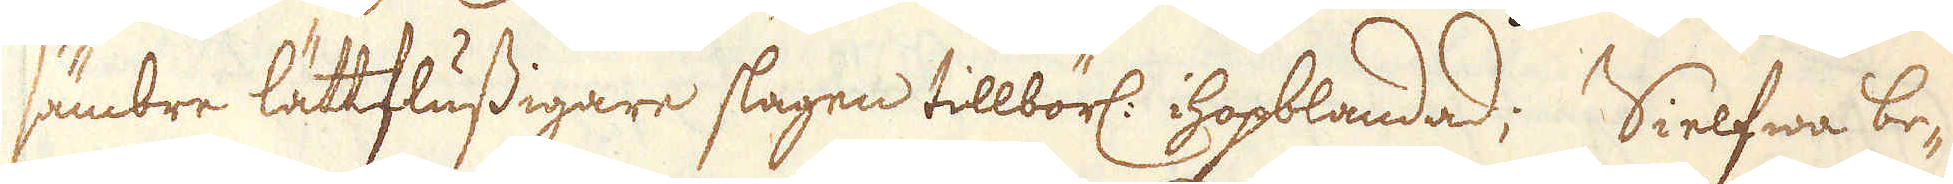sämbre lättsfussigare slagen tillbörl: hopblandad; Sielfwa be-
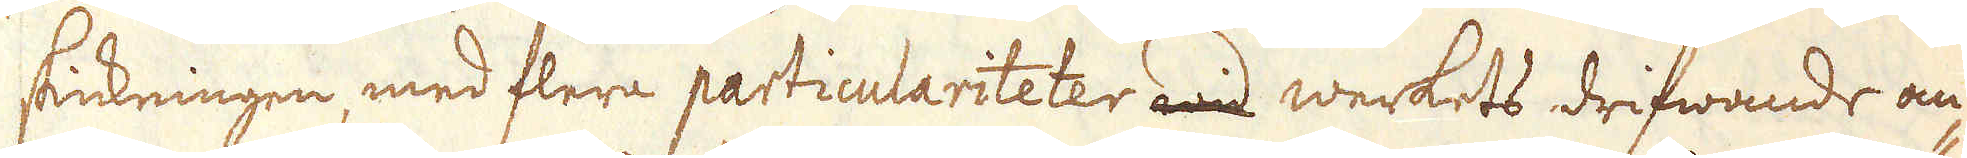skickningen med flera particulariteter och werkets drifwande om-
